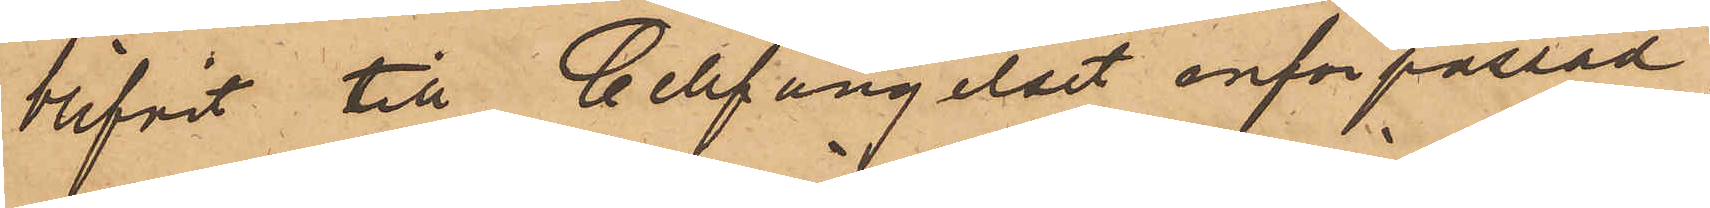blifvit till Cellfängelset införpassad,
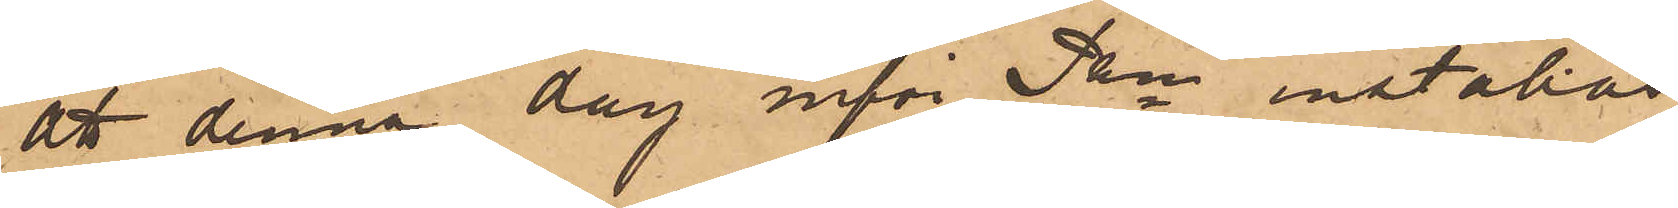att denna dag inför Pkn inställas
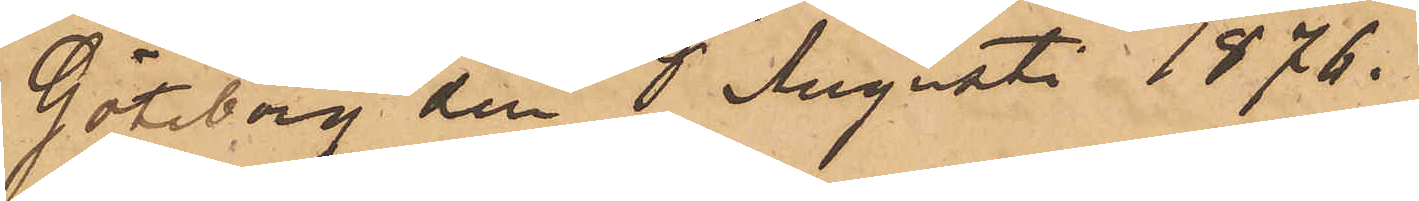Göteborg den 8 Augusti 1876.
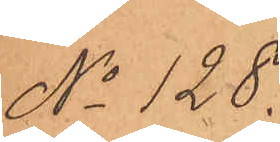No 128.
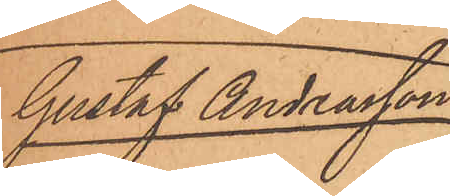Gustaf Andreasson
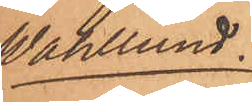Wahllund
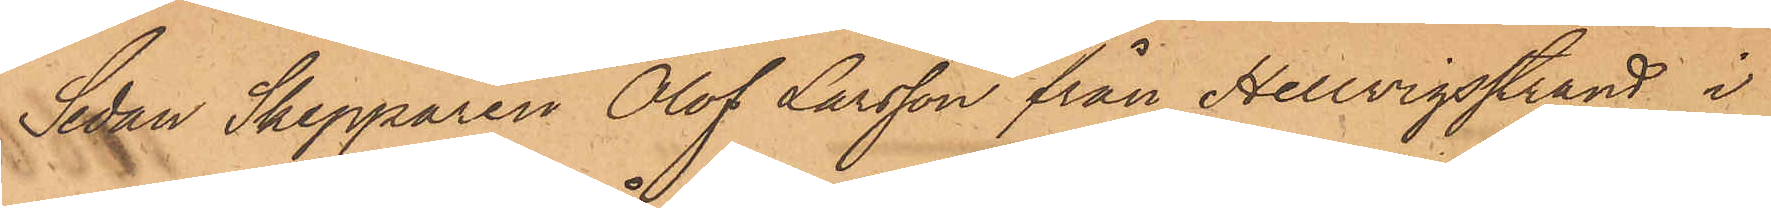Sedan Skepparen Olof Larsson från Hellvigsstrand i
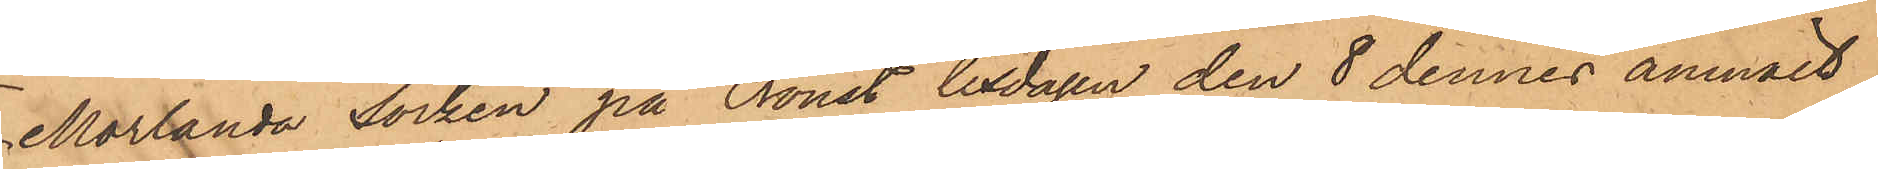Morlanda socken på Oroust tisdagen den 8 dennes anmält,
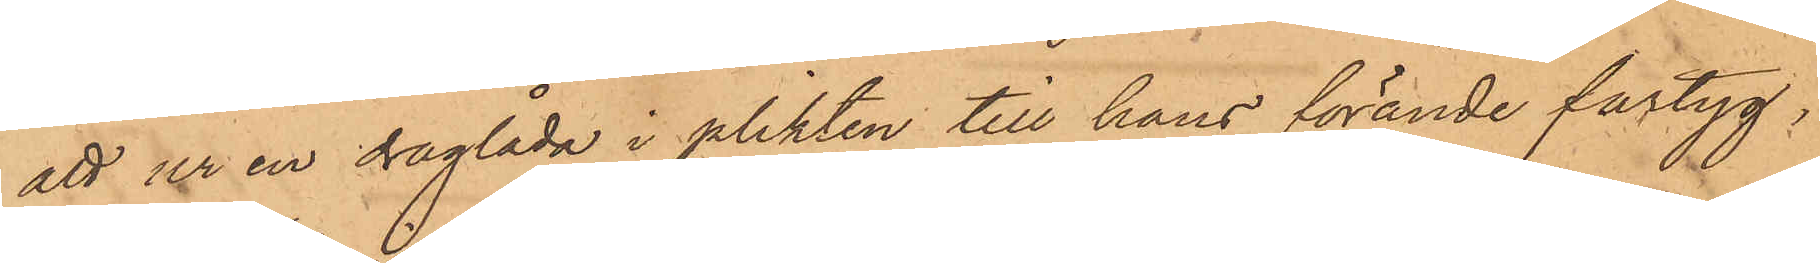att ur en draglåda i plikten till hans förande fartyg,
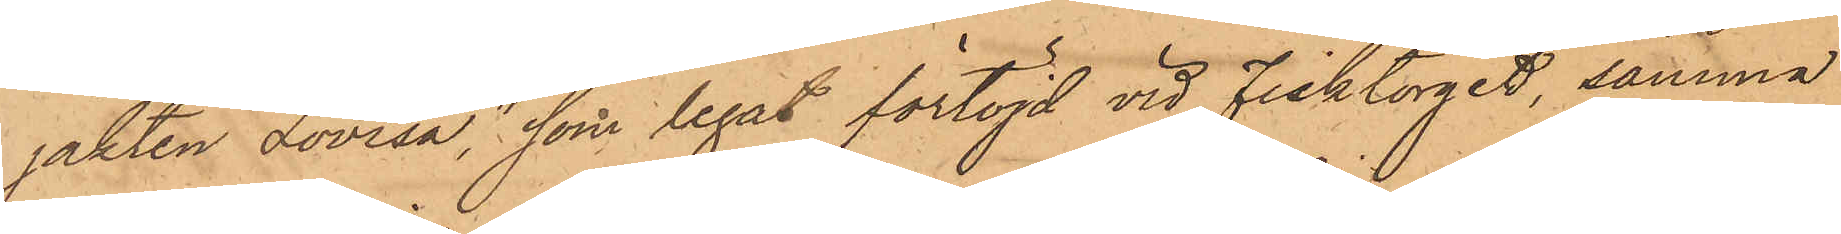jakten "Lovisa", som legat förtöjd vid Fisktorget, samma
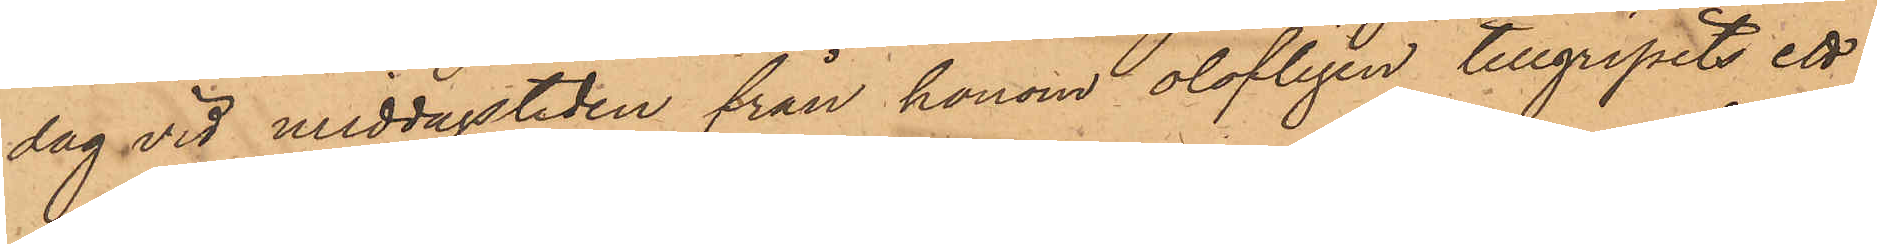dag vid middagstiden från honom olofligen tillgripits ett
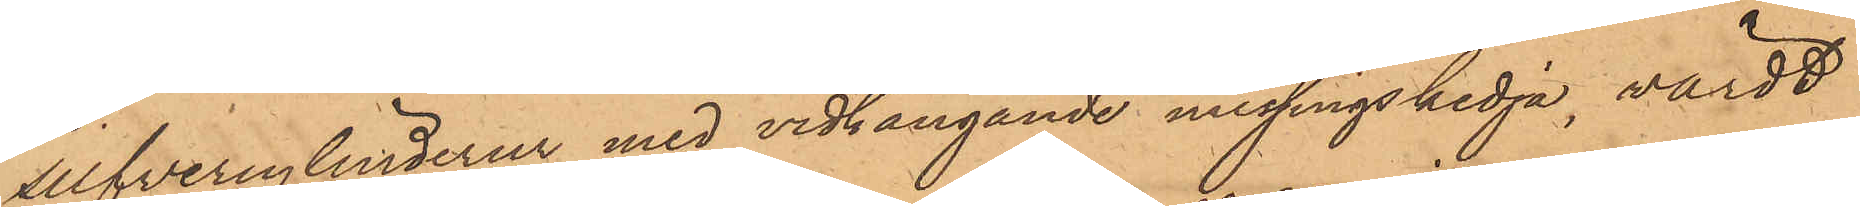silfvercylinderur med vidhängande messingskedja, värdt
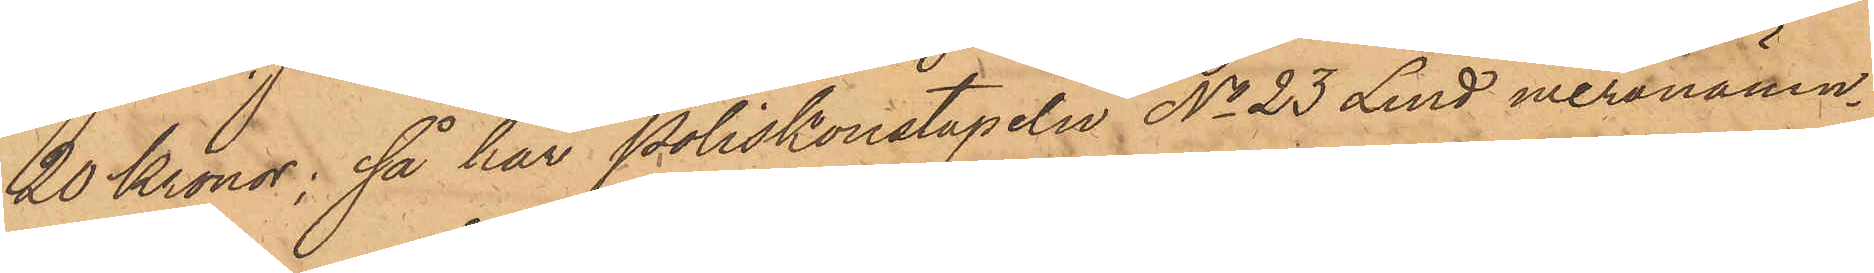20 Kronor, så har Poliskonstapeln No 23 Lind meranämn¬
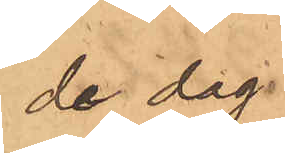de dag.
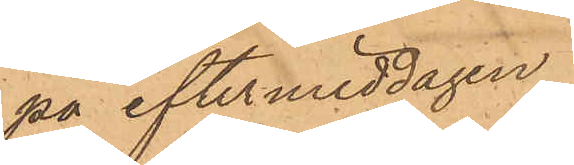på eftermiddagen
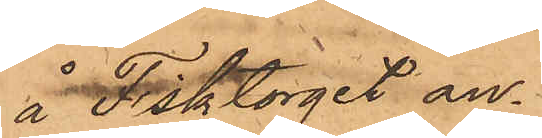å Fisktorget an¬
